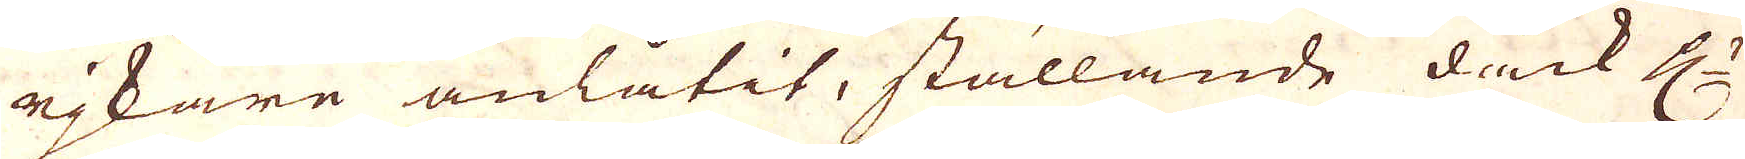rjkare anlåtit, ställande dåck H:r
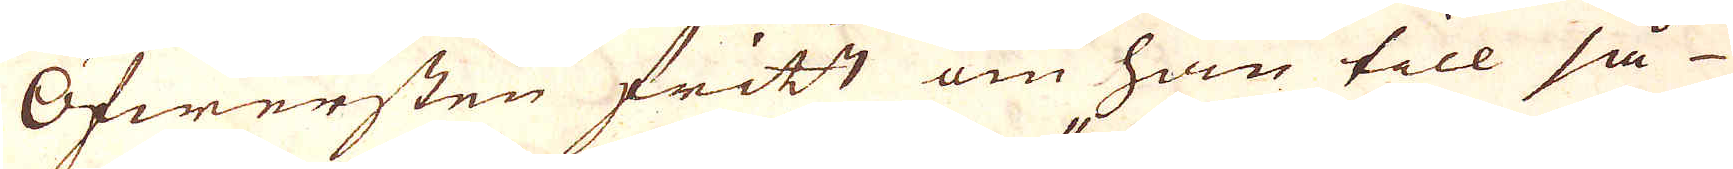Öfwersten fritt om han till så
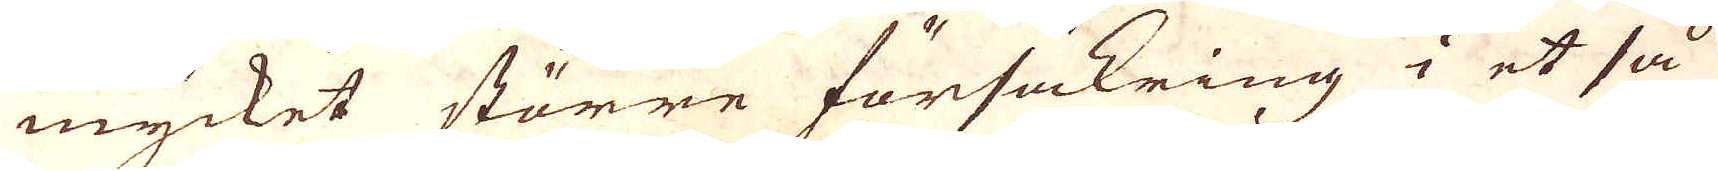mycket större försäkring i et så
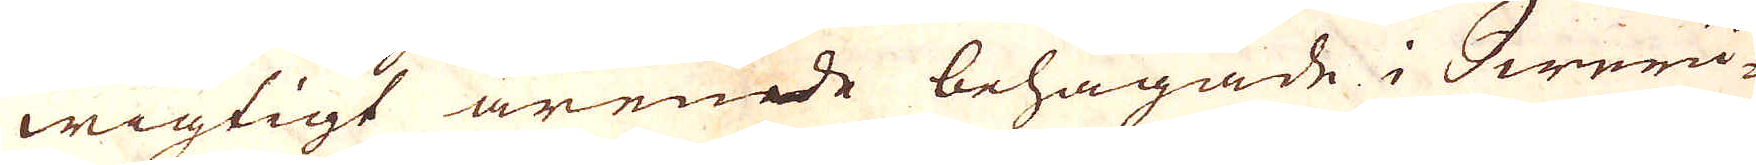wigtigt ärende behagade i Sweri-
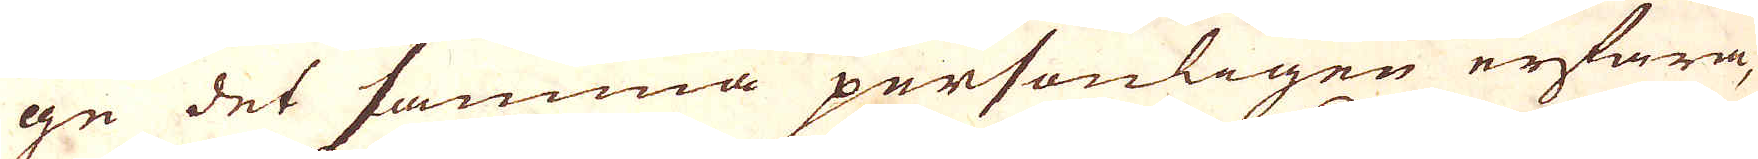ge det samma personligen erfara,
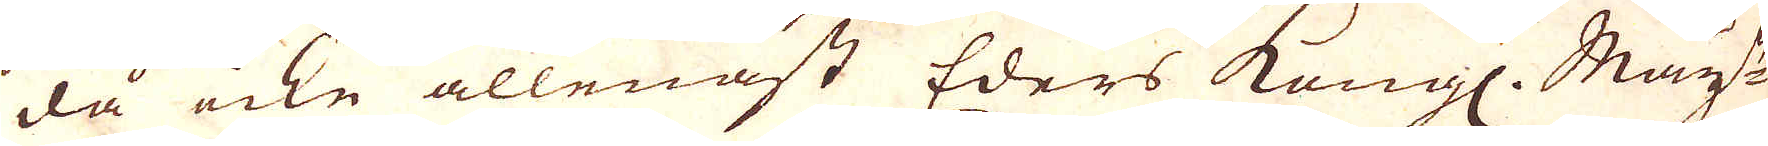då icke allenast Eders Kongl. Maj:t
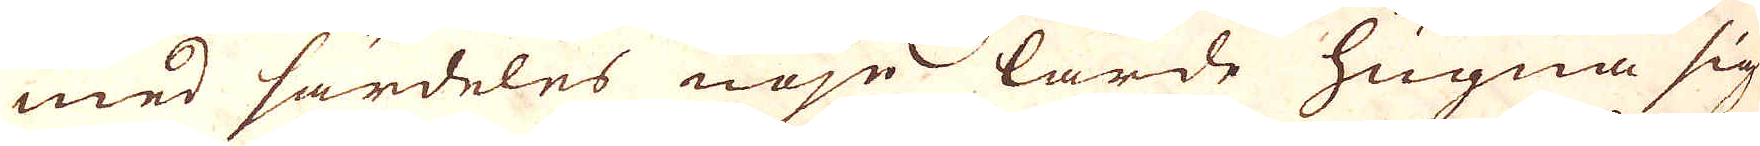med särdeles nöje lärde hugna sig
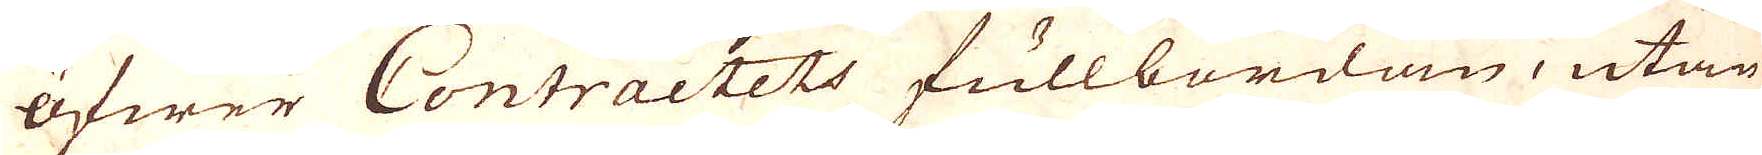öfwer Contractets fullbordan, utan
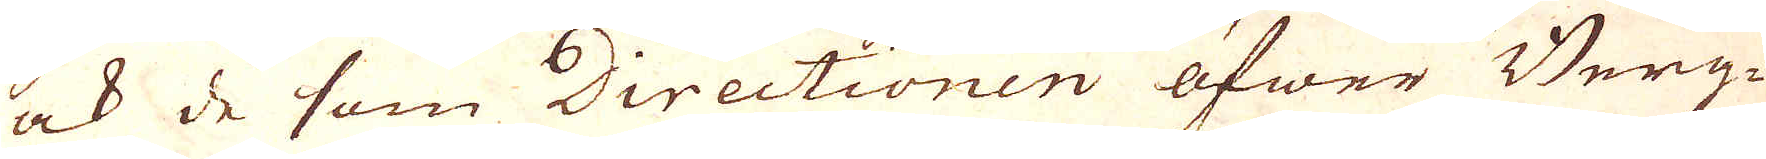ock de som Directionen öfwer Berg-
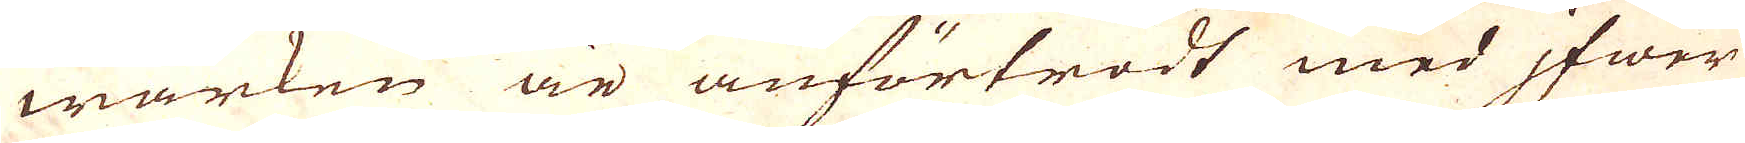wärken är anförtrodt med ifer
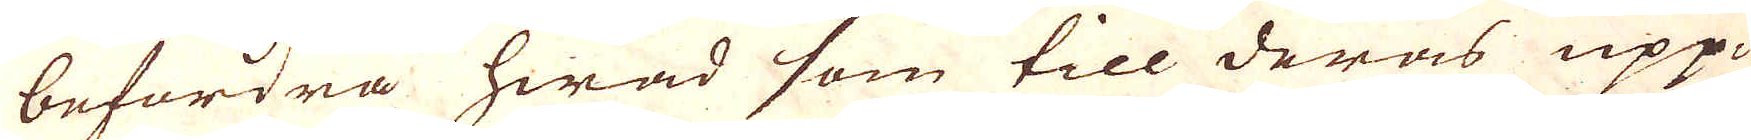befordra hwad som till deras upp-
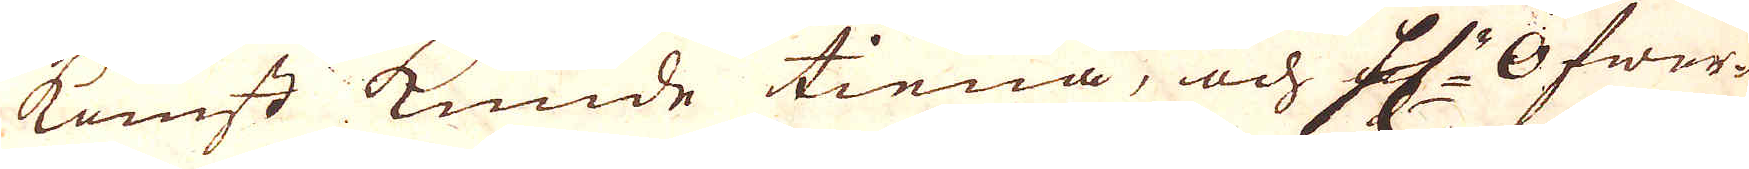komst kunde tiena, och H:r Öfwer-
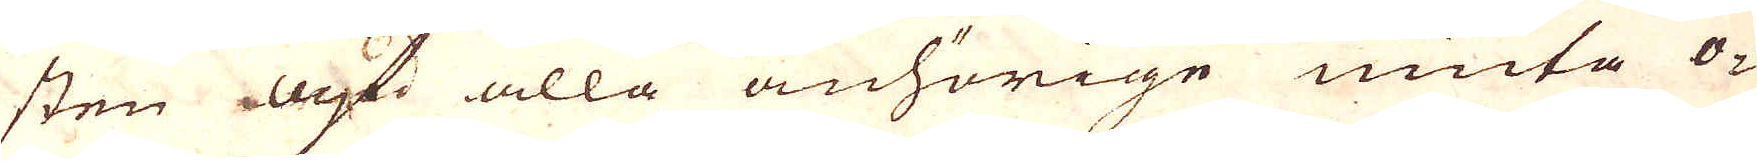sten ock alla anhörige niuta o-
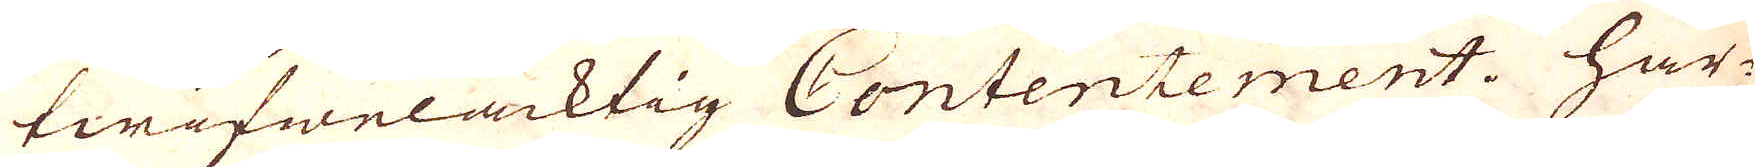twifwelaktig Contentement. Här-
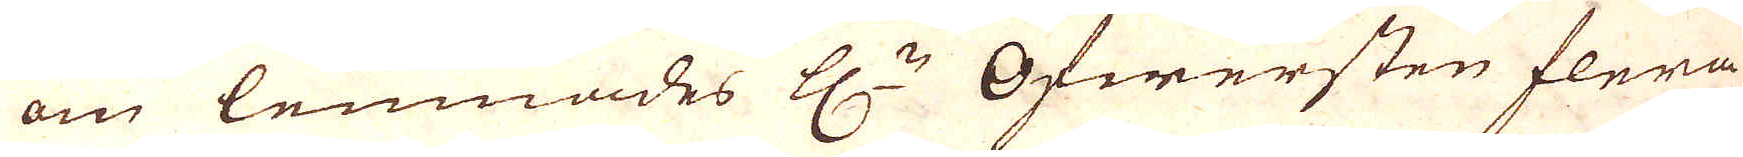om lemnades H:r Öfwersten flera
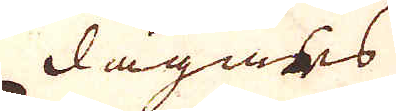dagars
